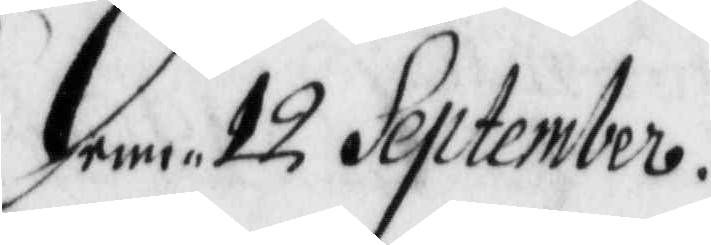den 12 September.
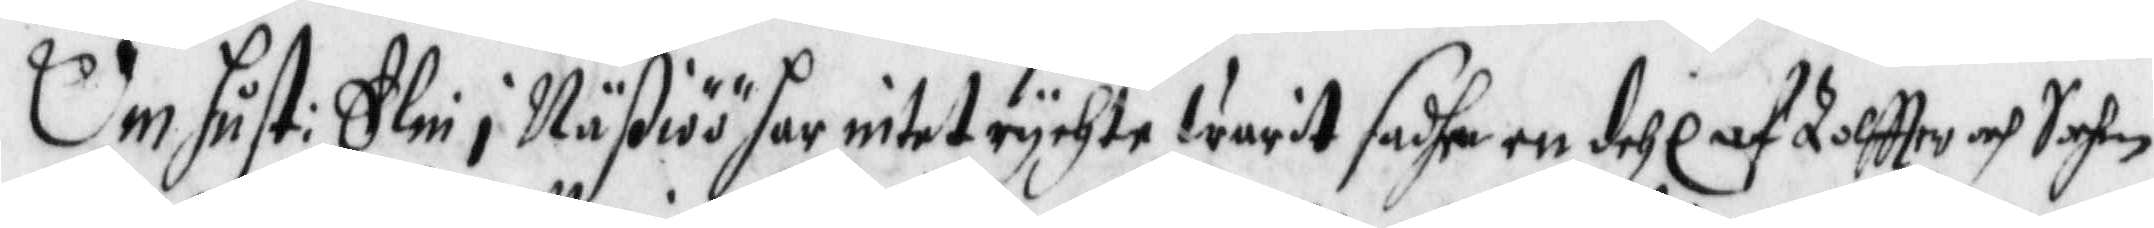Om hust: Elin i Näßiöö har intet rychte warit sadhe en dehl af Tolftter och Sochen
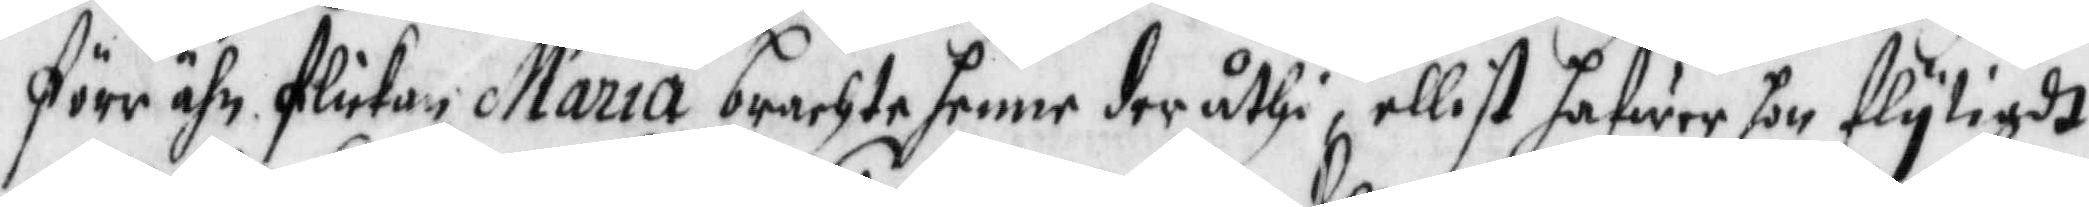förr ähn flickan Maria brachte henne der uthi, ellist hafwer hon flytigdt
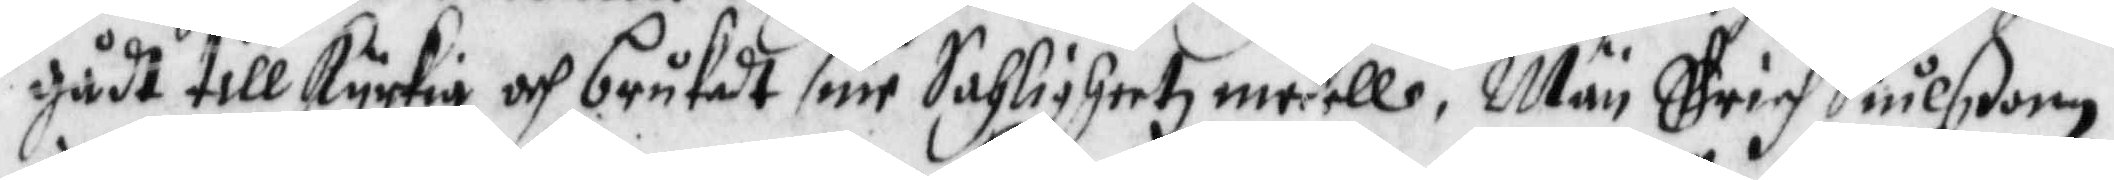gådt till kyrkia och brukadt sine Saligheetz medell, Män Erich Siulßonn
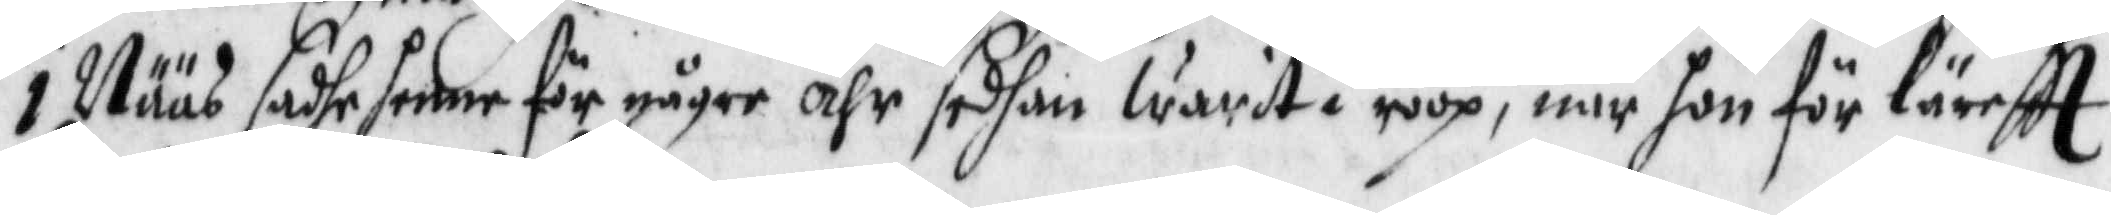i Nääs sadhe henne för någre åhr sedhan warit i roop, när hon för läreftt
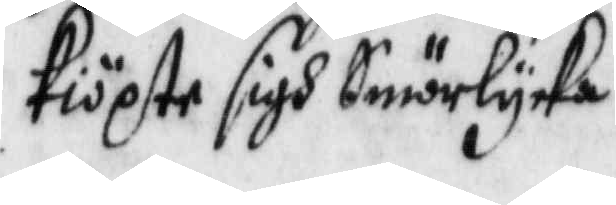kiöte sigh Smörlycka.
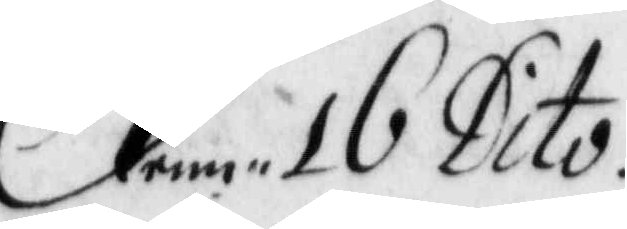denn 16 Dto.
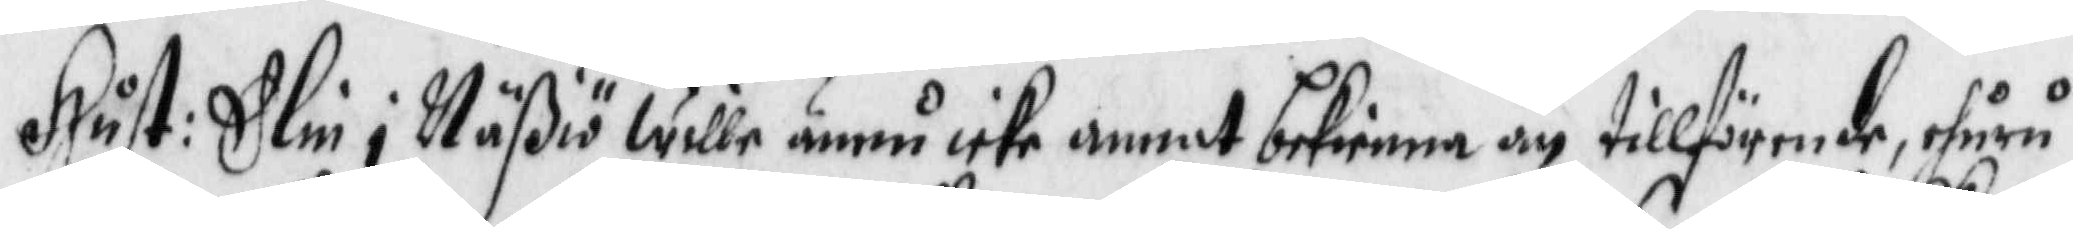Hust: Elin i Näßiöö wille ännu icke anna bekienna än tillförende, ehuru
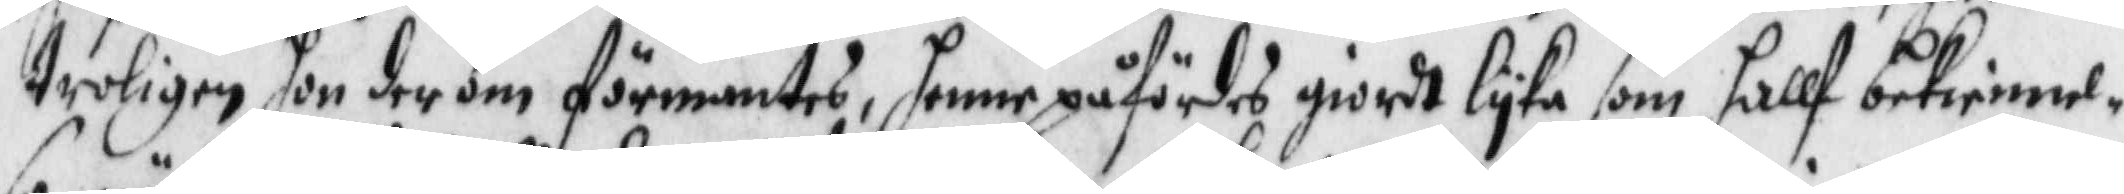troligen hon der om förmantes, henne påfördes giordt lyka som hallf bekiennel¬
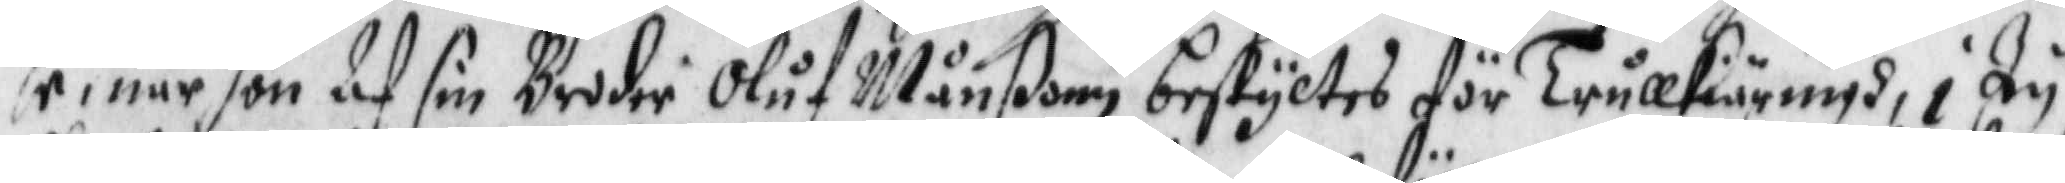se, när hon Af sin Broder Oluf Månßon beskyltes för trullkiäringh, i Ty
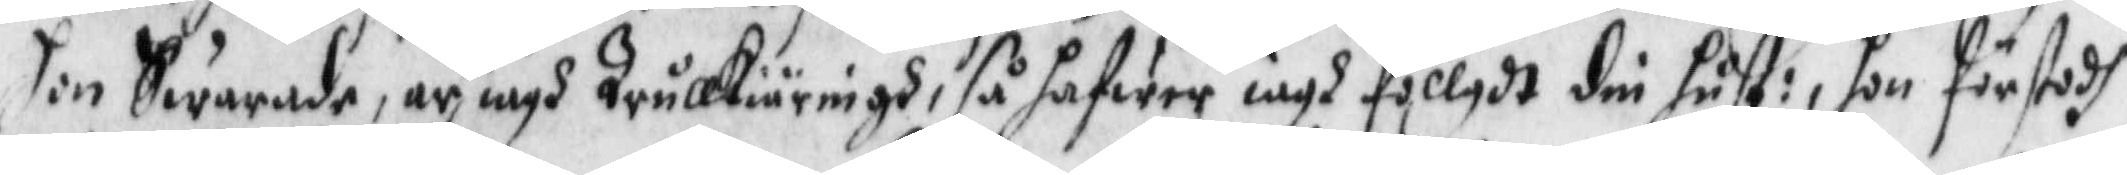hon Swarade, är iagh Trullkiäringh, så hafwer iagh föllgdt din hust: hon förstodh
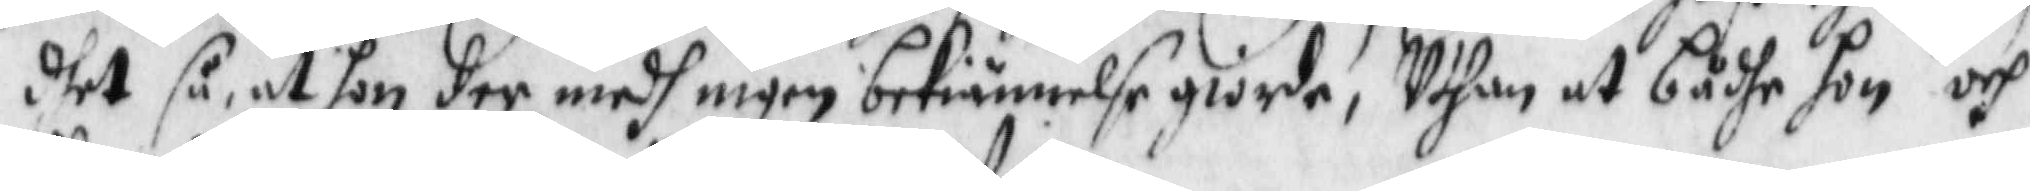dhet så, at hon der medh ingen bekiennelse giorde, Uthan at bådhe hon och
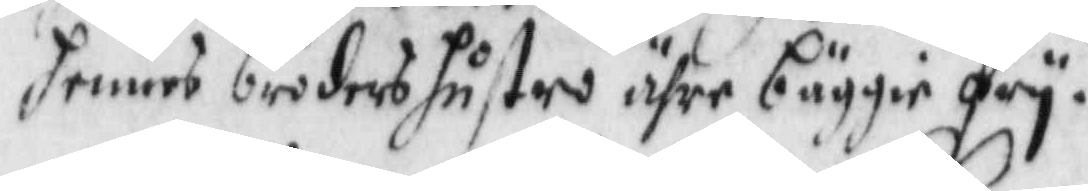hennes boders hustru ähre bäggie fry.
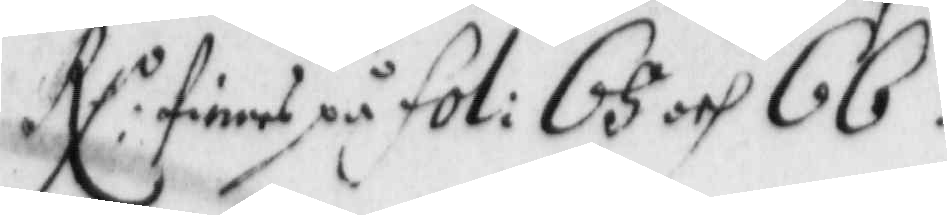RX: finnes på fol: 65 och 66.
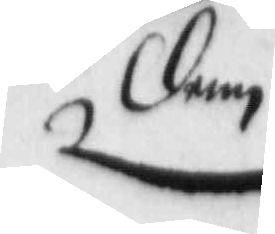Denn
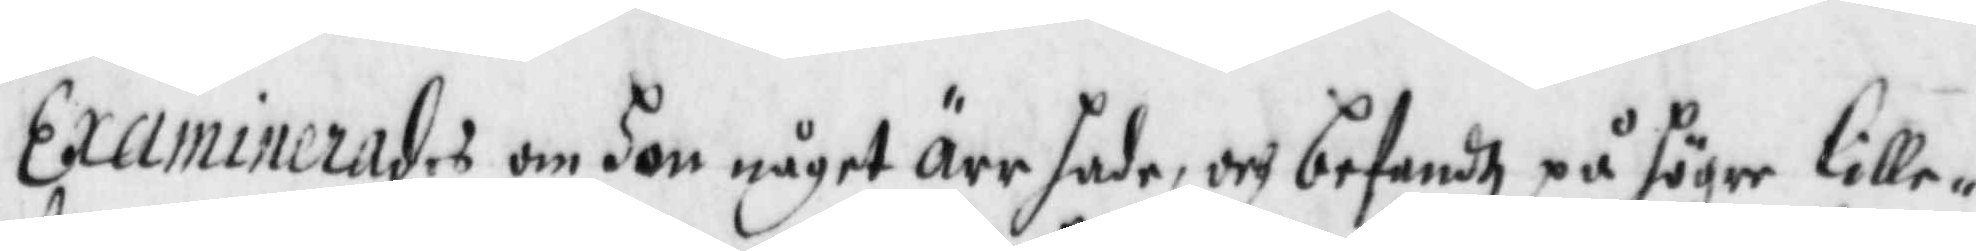Examinerade om hon något äree hade, och befandtz på höger lille¬
